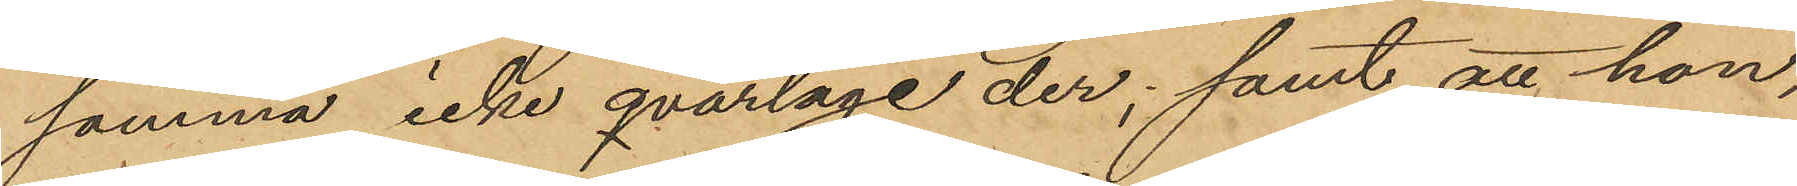samma icke qvarlåge der; samt att hon,
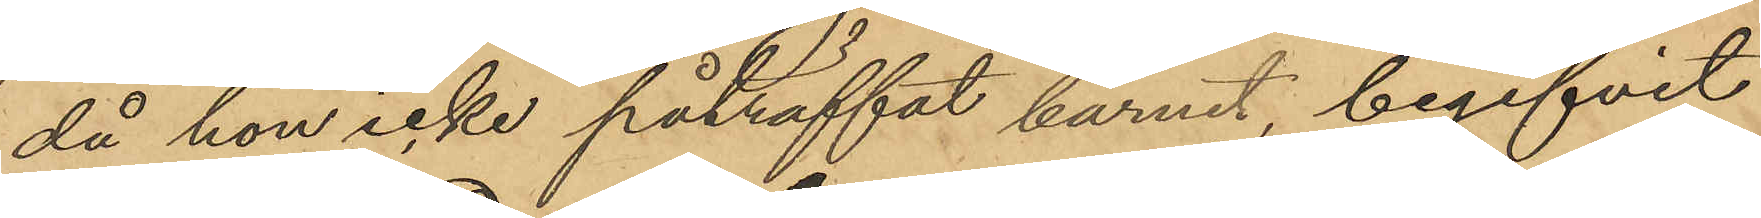då hon icke påträffat barnet, begifvit
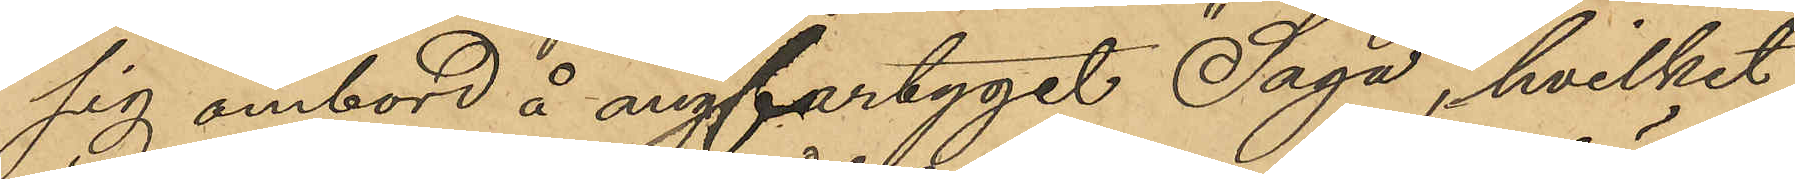sig ombord å ångfartyget "Saga", hvilket
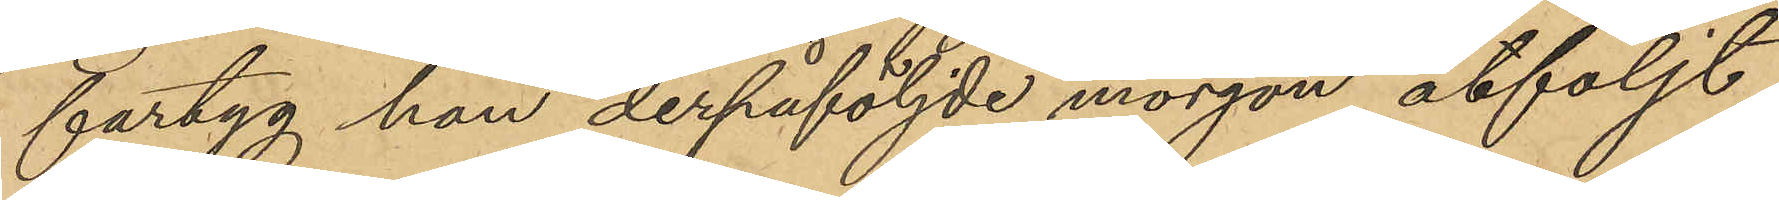fartyg hon derpåföljde morgon åtföljt
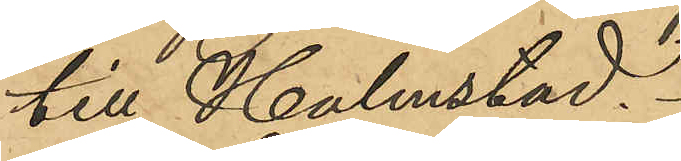till Halmstad.
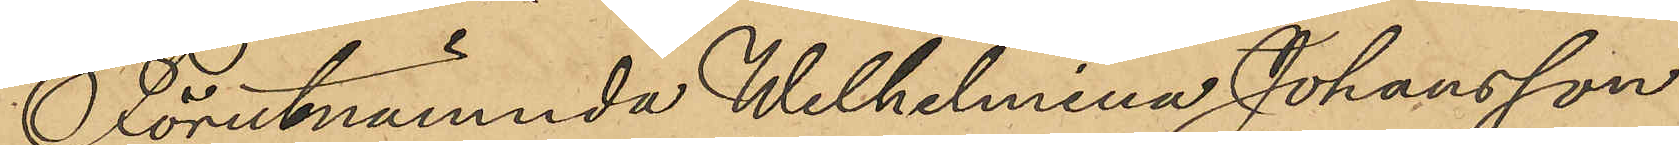Förutnämnda Wilhelmina Johansson
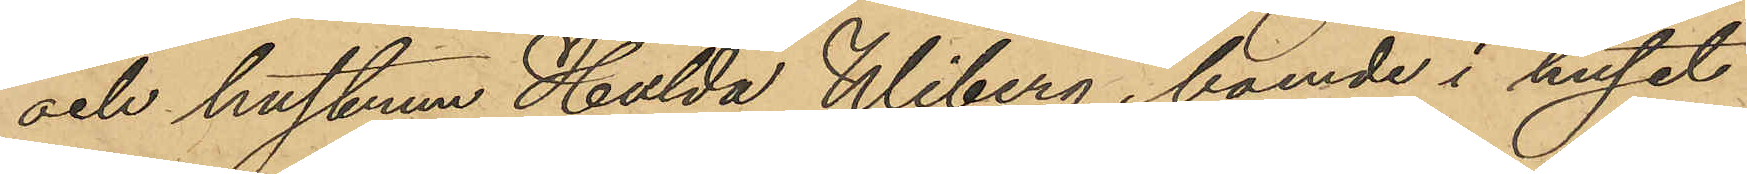och hustrun Hulda Wiberg, boende i huset
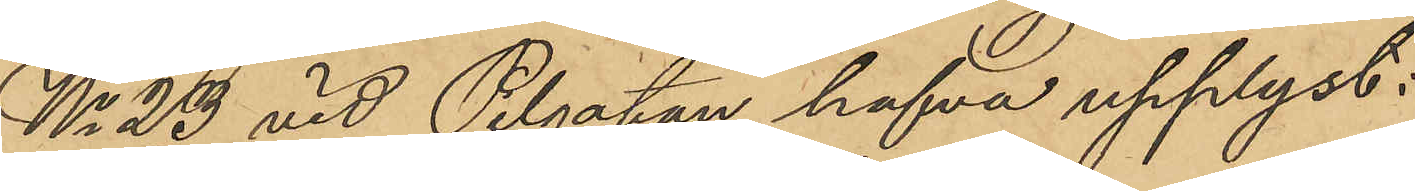No 23 vid Pilgatan, hafva upplyst:
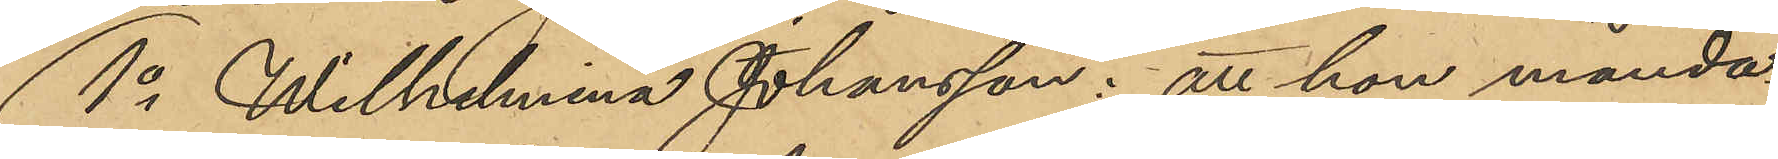1o Wilhelmina Johansson: att hon månda¬
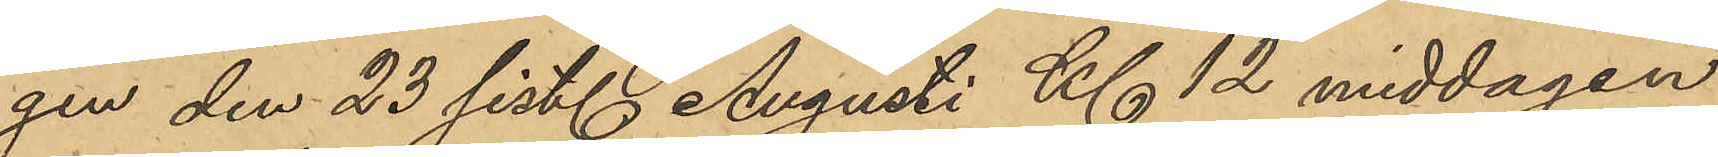gen den 23 sist. Augusti Kl 12 middagen
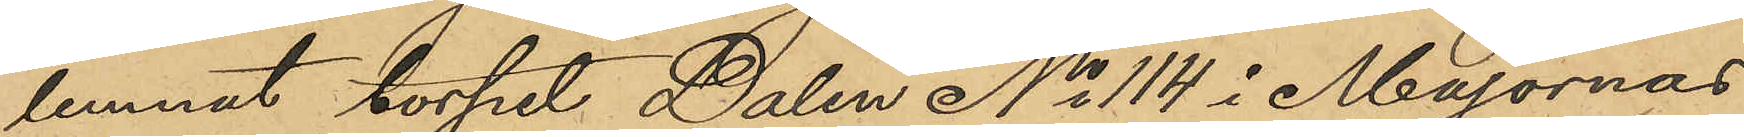lemnat torpet Dalen No 114 i Majornas
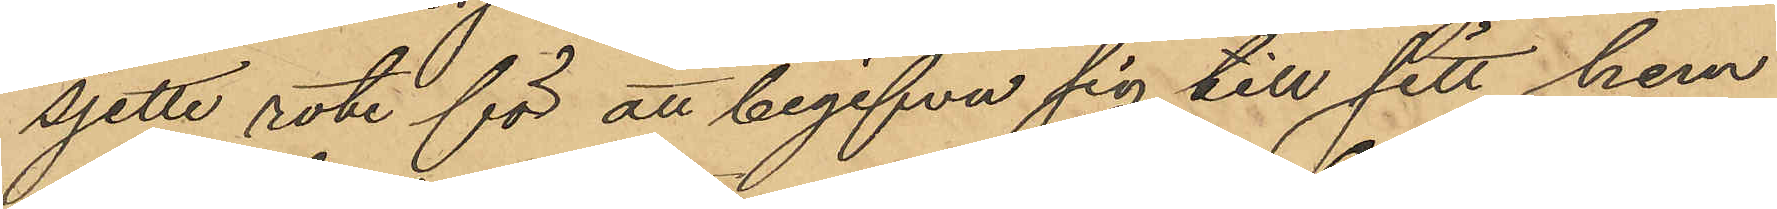sjette rote för att begifva sig till sitt hem
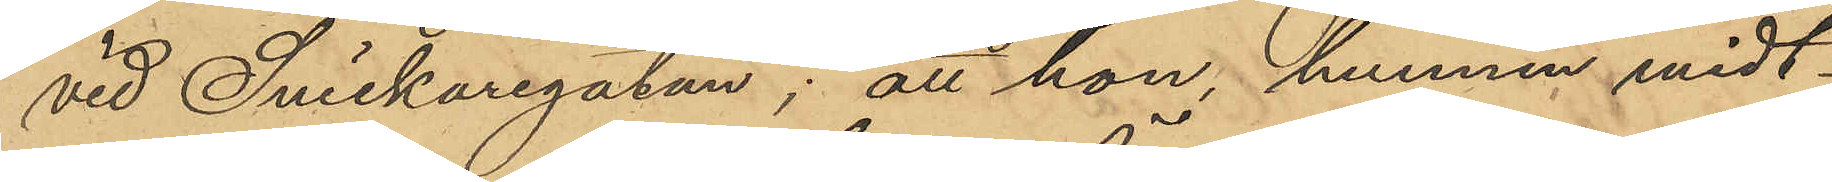vid Snickaregatan; att hon, hunnen midt¬
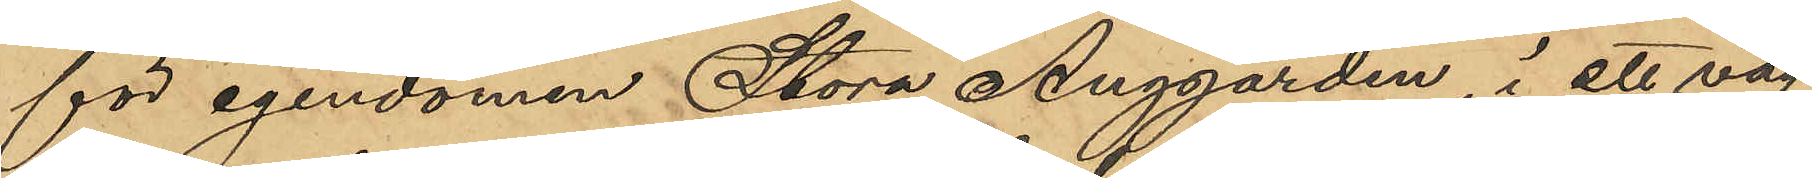för egendomen Stora Änggården, i ett väg¬
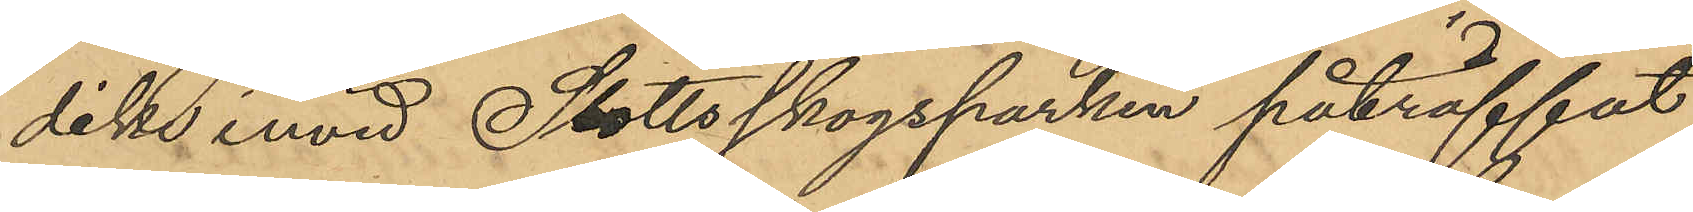dike invid Slottsskogsparken påträffat
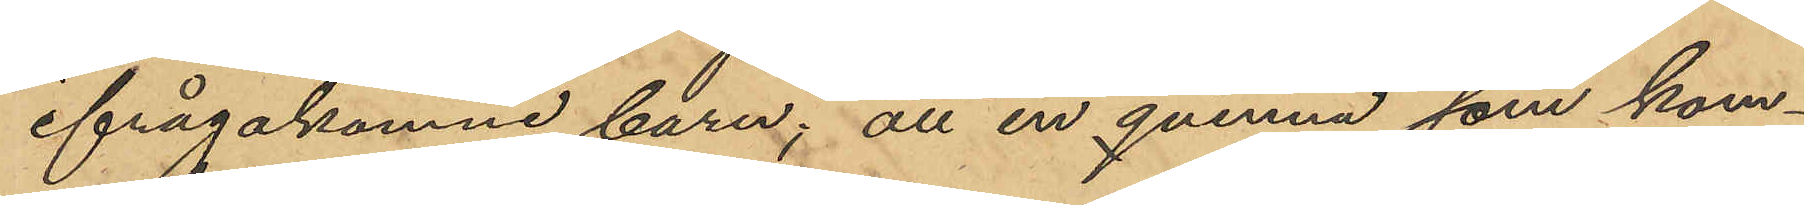ifrågakomne barn, att en qvinna som kom¬
